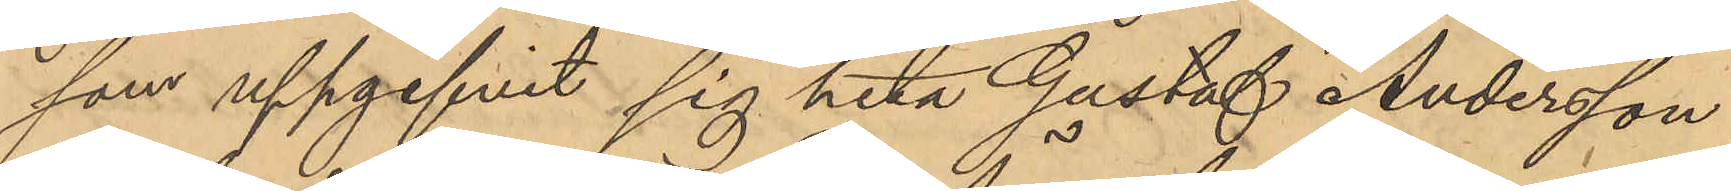som uppgifvit sig heta Gustaf Andersson
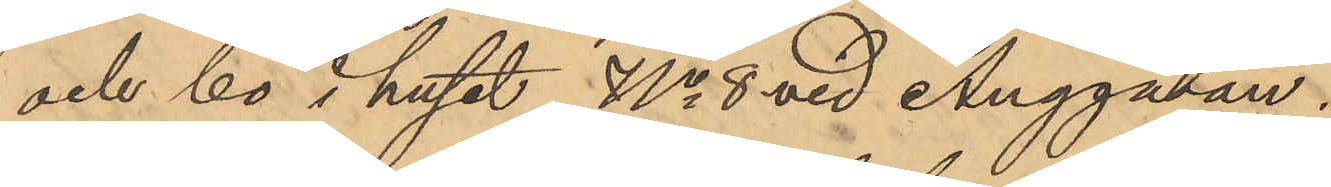och bo i huset No 8 vid Änggatan.
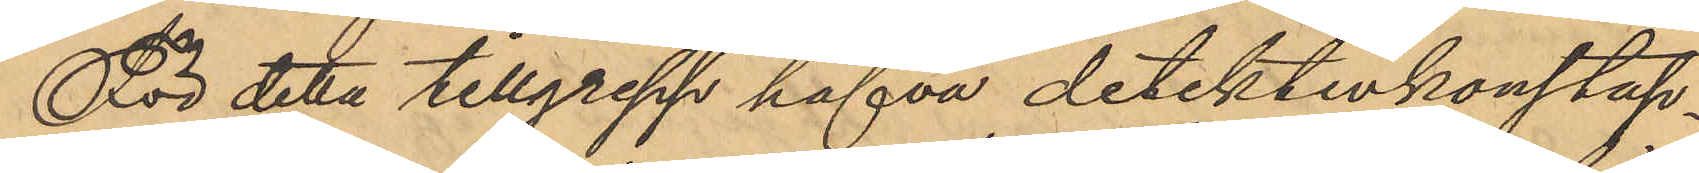För detta tillgrepp hafva detektivkonstap¬
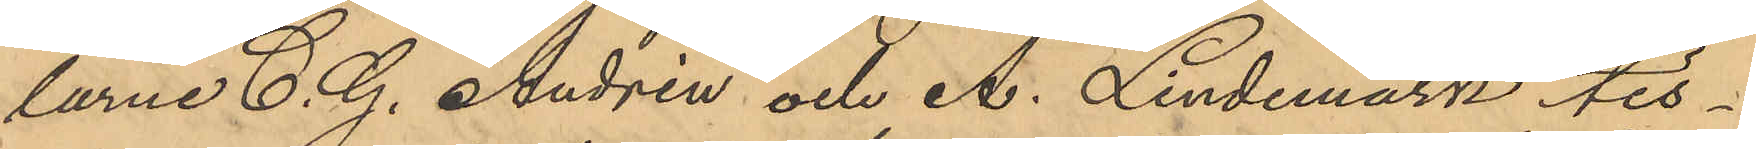larne C. G. Andrén och A. Lindemark tis¬
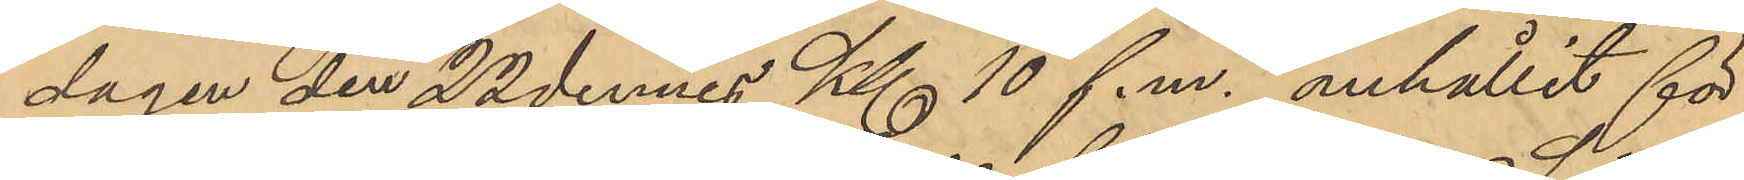dagen den 22 dennes Kl 10 f.m. anhållit för
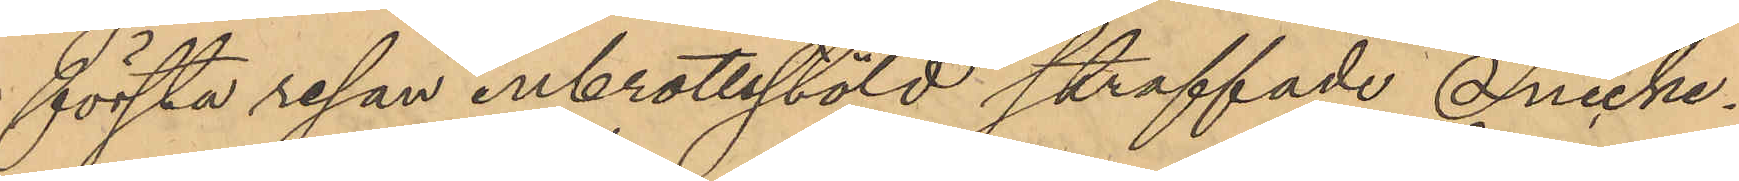första resan inbrottsstöld straffade Snicke¬
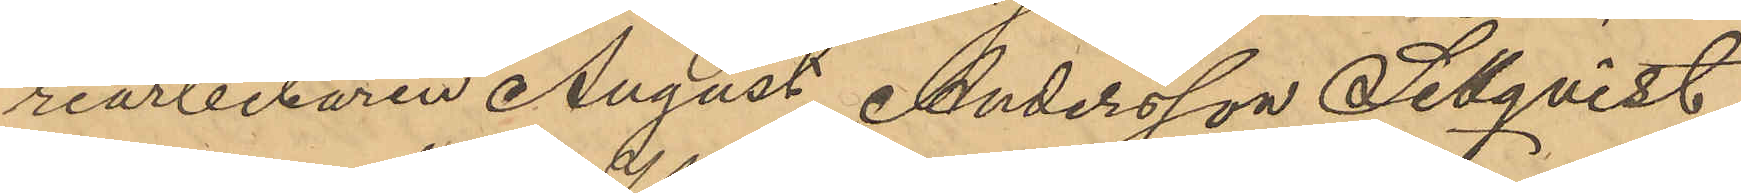riarbetaren August Andersson Sellqvist
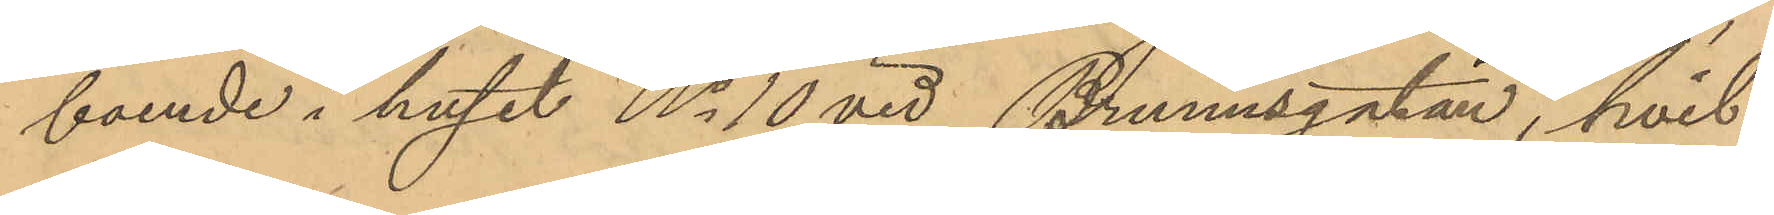boende i huset No 10 vid Brunnsgatan, hvil¬
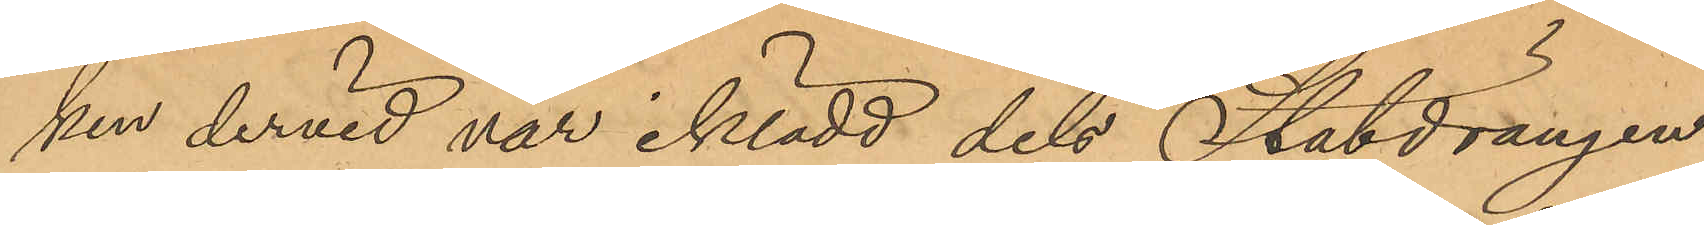ken dervid var iklädd dels Statdrängen
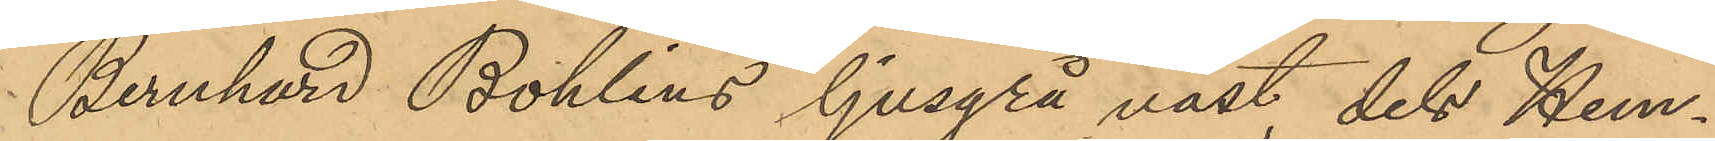Bernhard Bohlins ljusgrå väst dels Hem¬
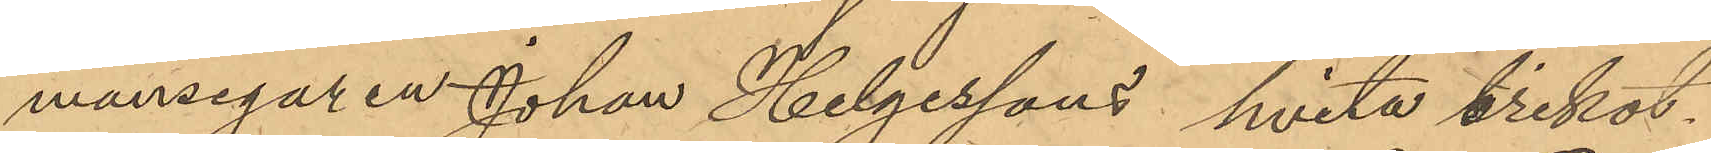mansegaren Johan Helgessons hvita trikot¬
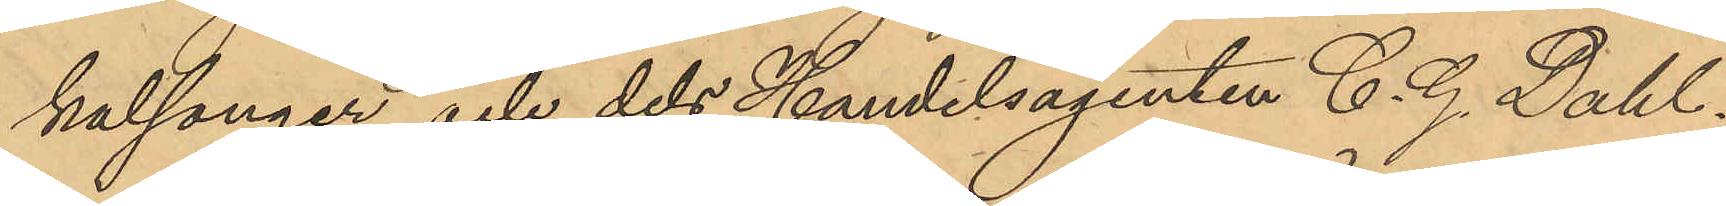kalsonger och dels Handelsagenten C. G. Dahl¬
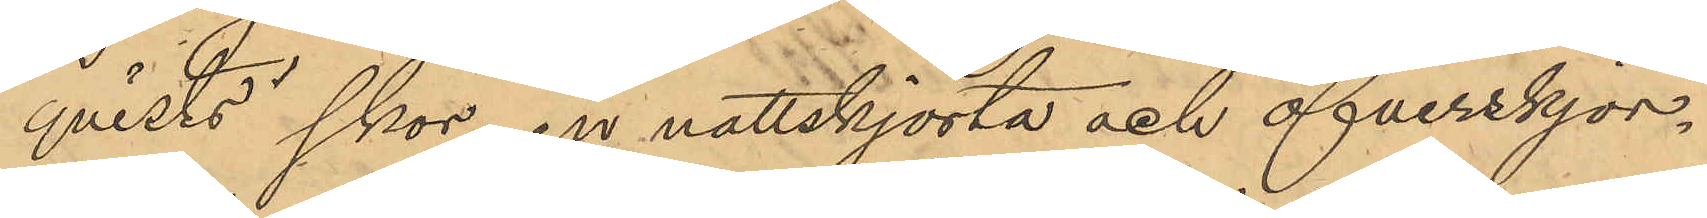qvists skor, en nattskjorta och öfverskjor¬
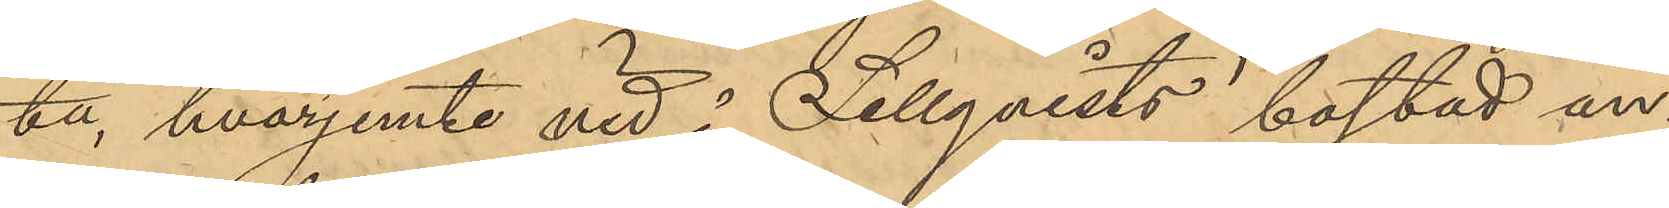ta, hvarjemte vid å Sellqvists bostad an¬
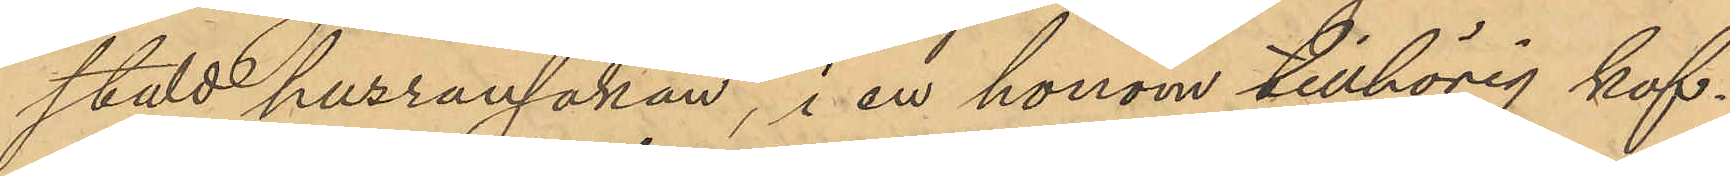stäld husransakan, i en honom tillhörig kof¬
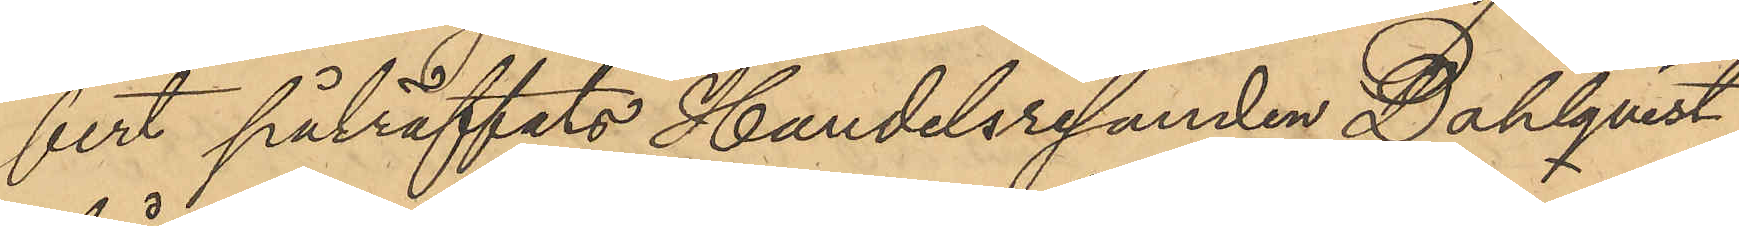fert påträffats Handelsresanden Dahlqvist
